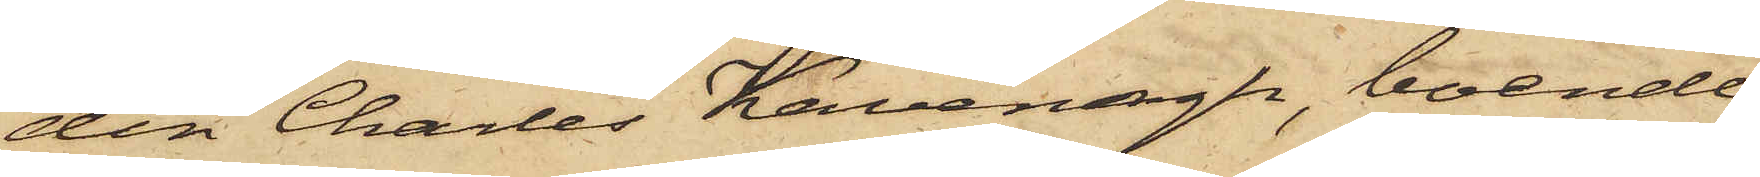den Charles Kavenagh, boende
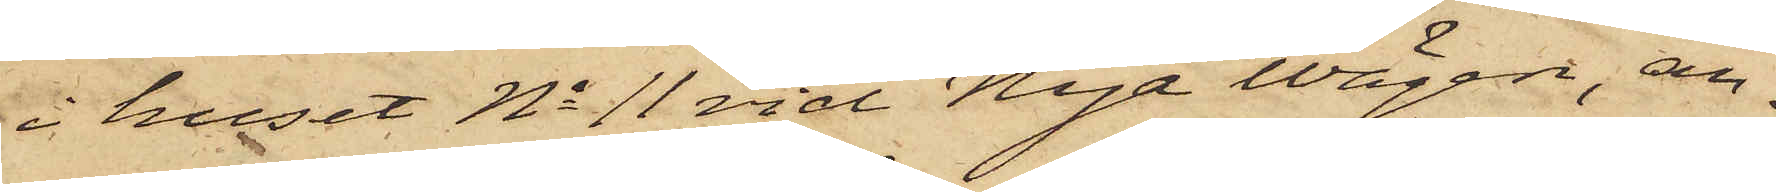i huset No 11 vid Nya vägen, an¬
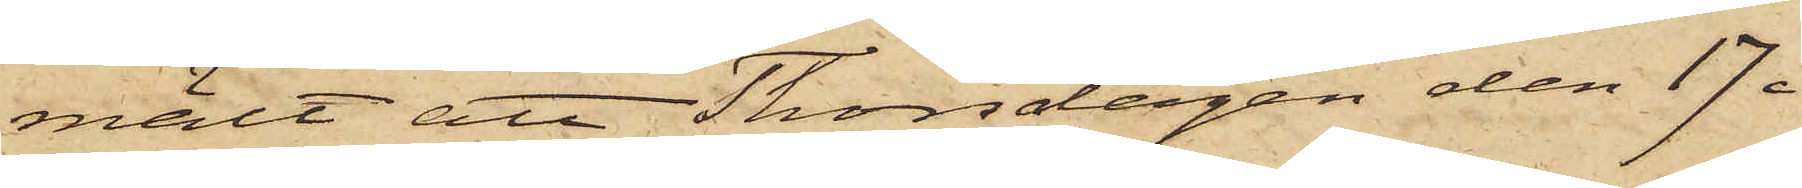mält att Thorsdagen den 17 i
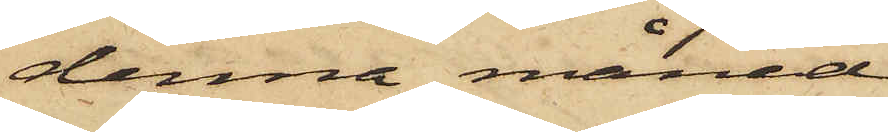denna månad
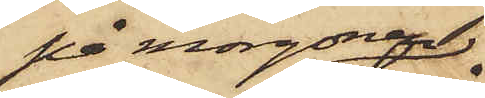på morgonen
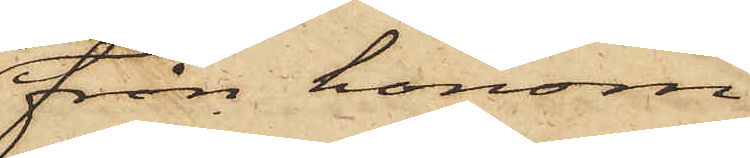från honom
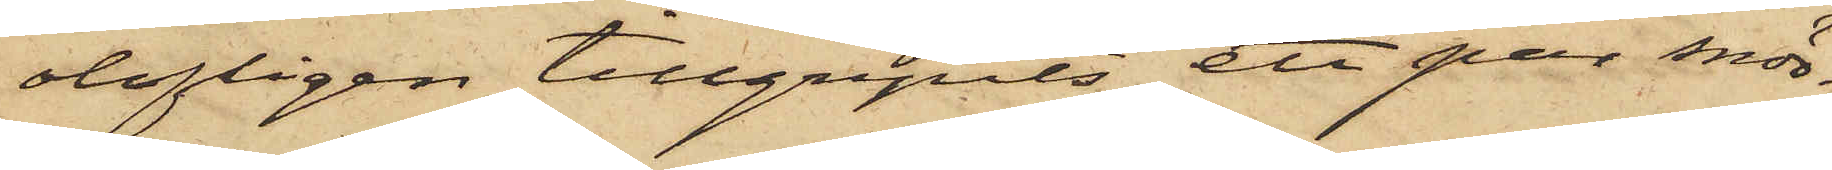olofligen tillgripits ett par snör¬
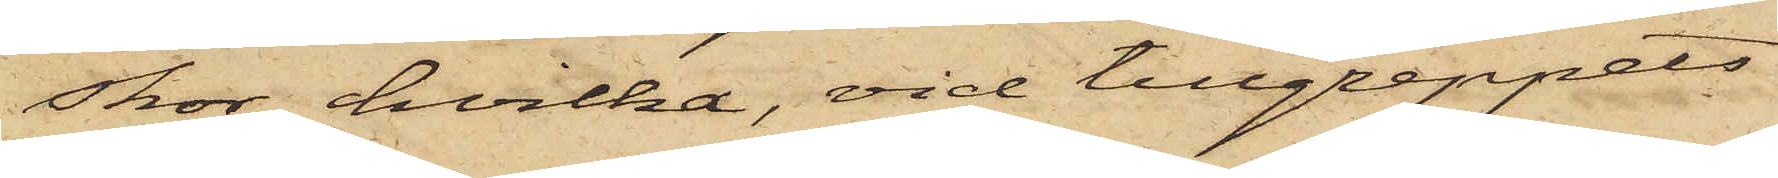skor hvilka, vid tillgreppets
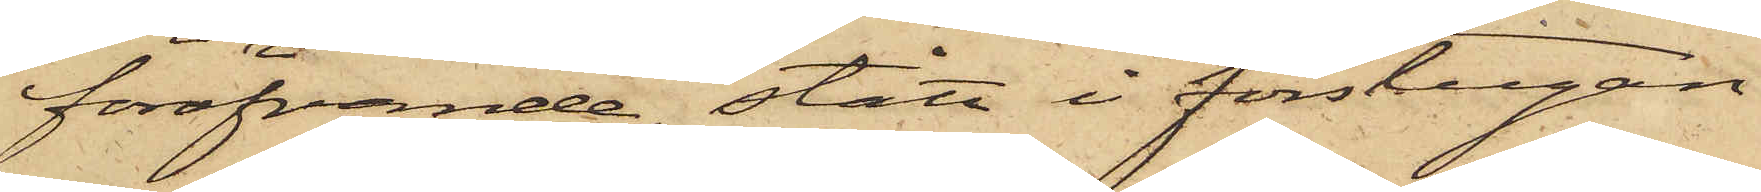föröfvande, stått i förstugan
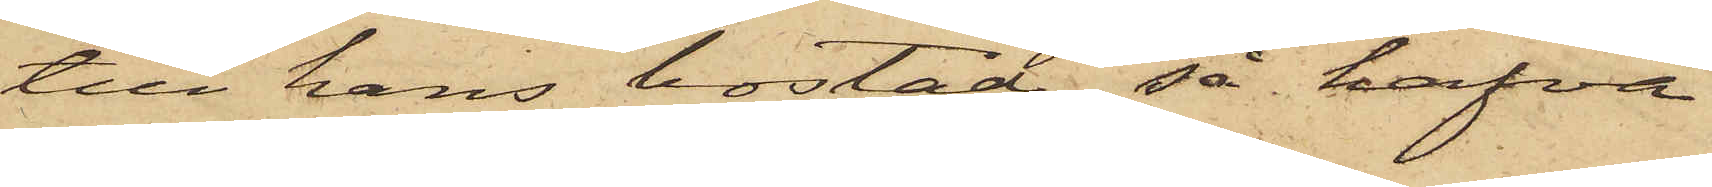till hans bostad, så hafva
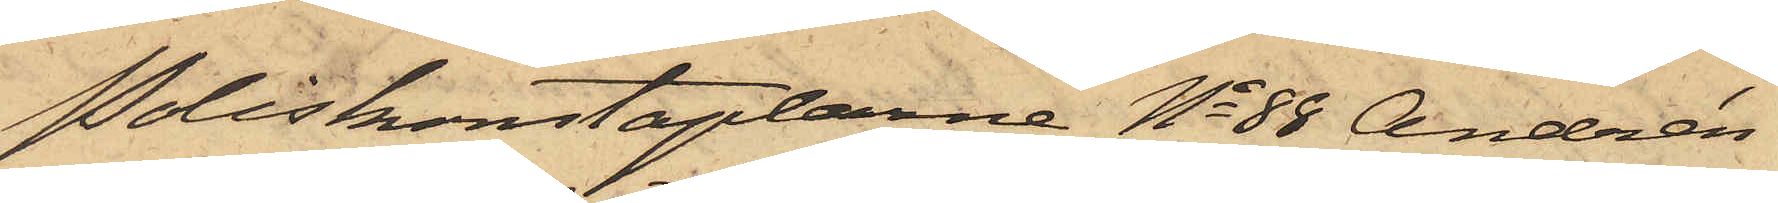Poliskonstaplarne No 88 Andrén
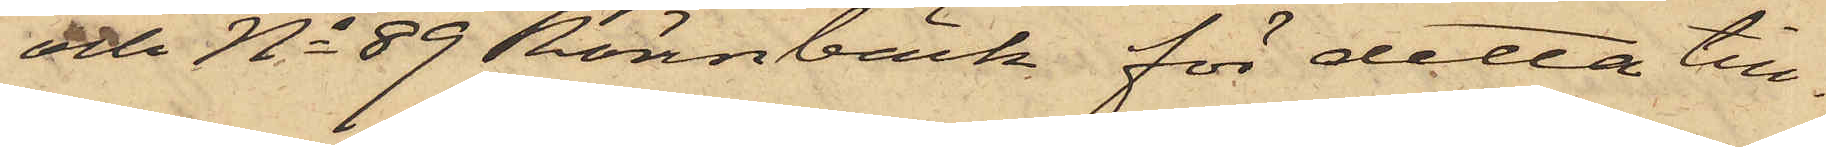och No 89 Rönnbäck för detta till¬
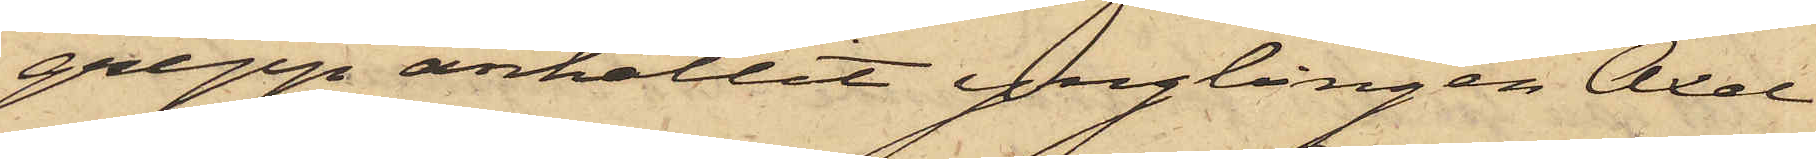grepp anhållit ynglingen Axel
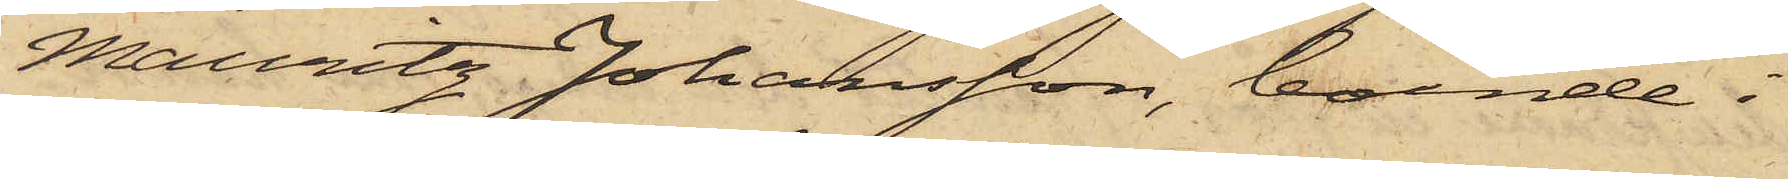Mauritz Johansson, boende i
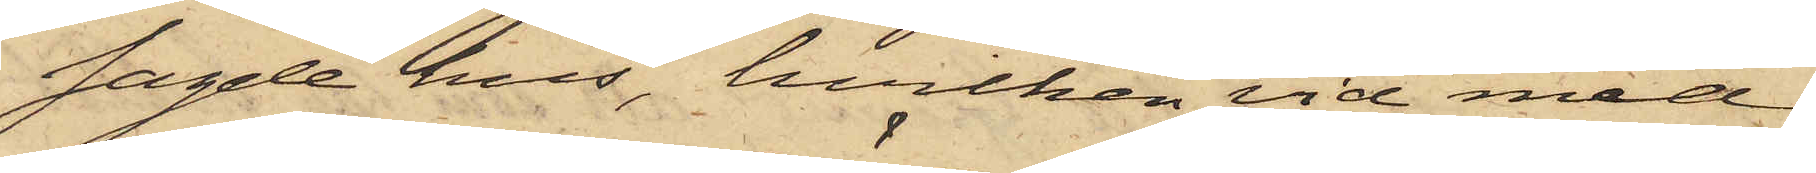sagde hus, hvilken vid med
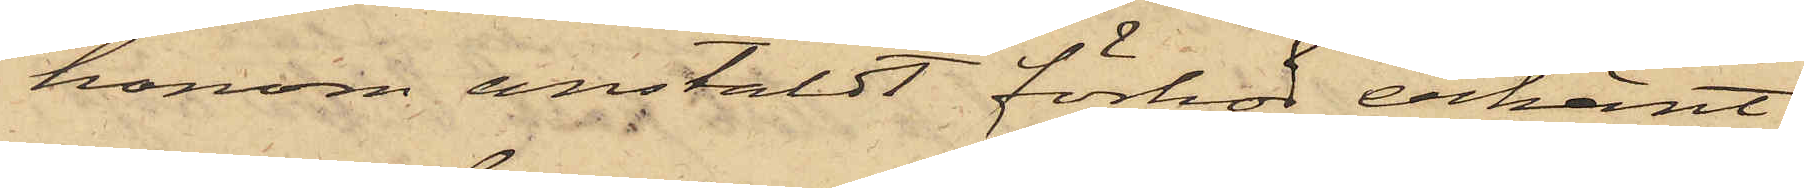honom anstäldt förhör erkänt,
